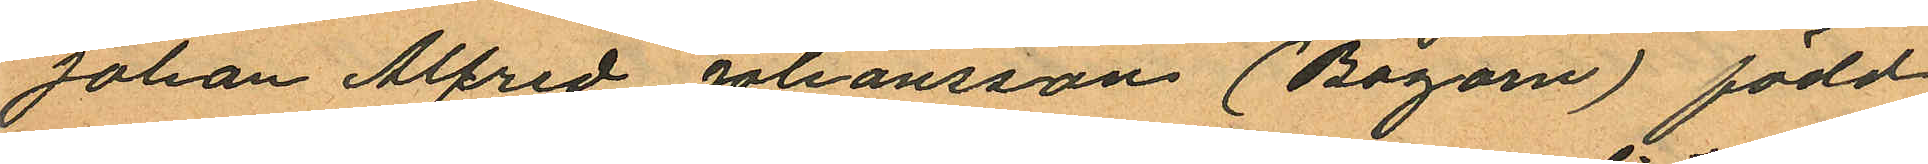Johan Alfred Johansson (Bagarn) född
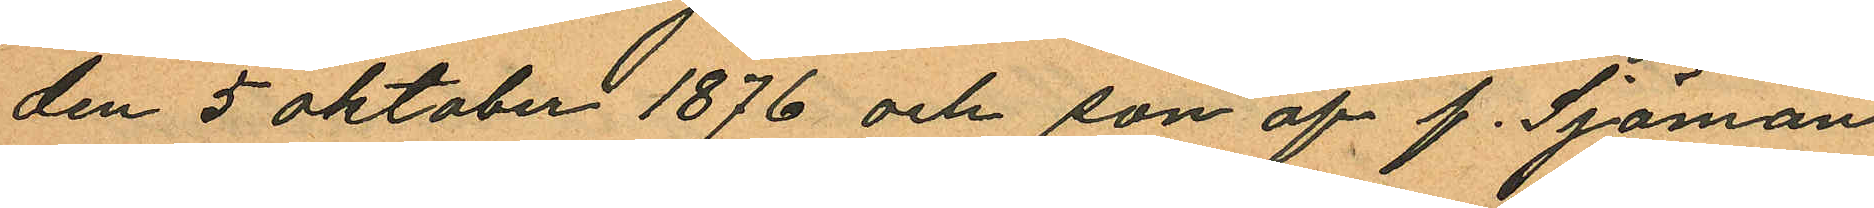den 5 Oktober 1876 och son af f. Sjöman
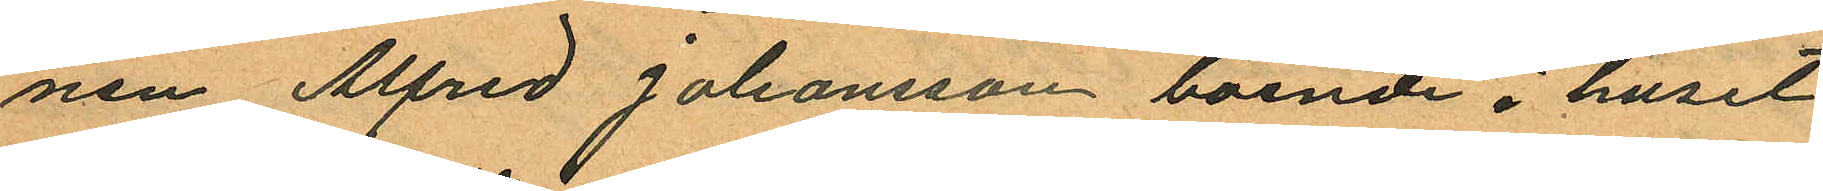nen Alfred Johansson boende i huset
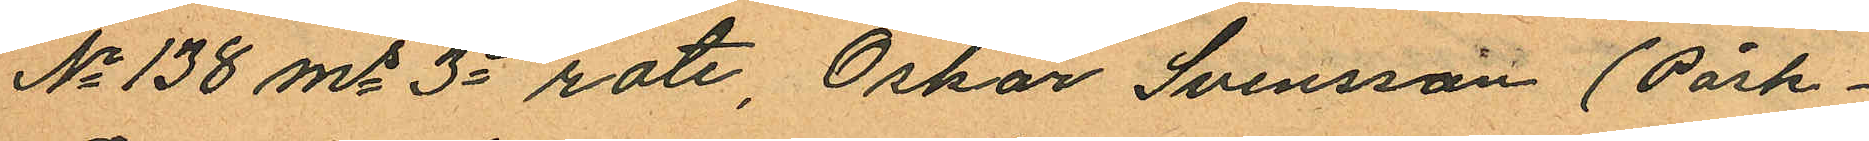No 138 ms 3e rote, Oskar Svensson (Påsk¬
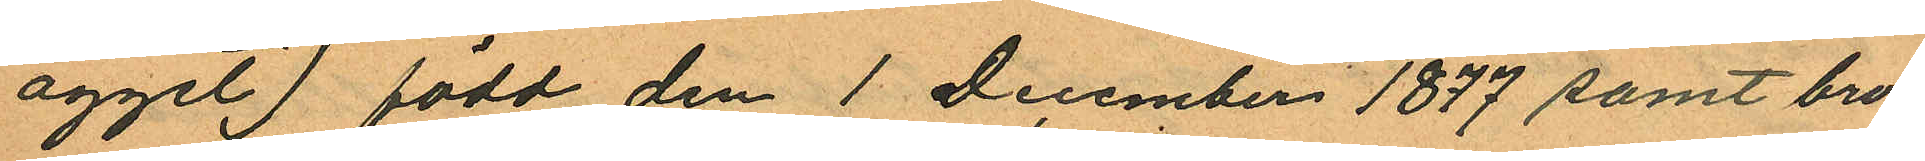ägget) född den 1 December 1877 samt bro¬
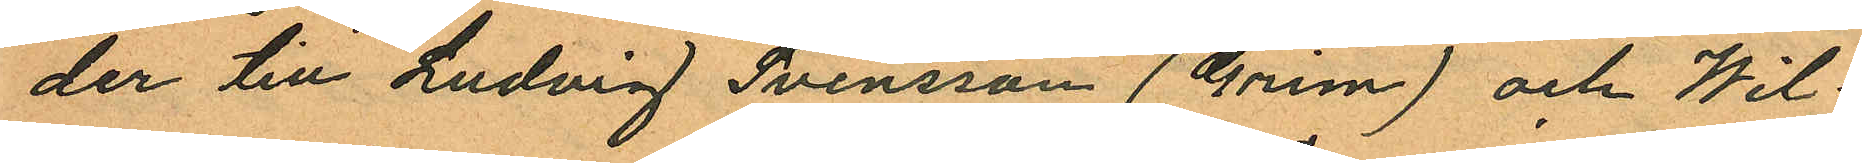der till Ludvig Svensson (Grim) och Wil¬
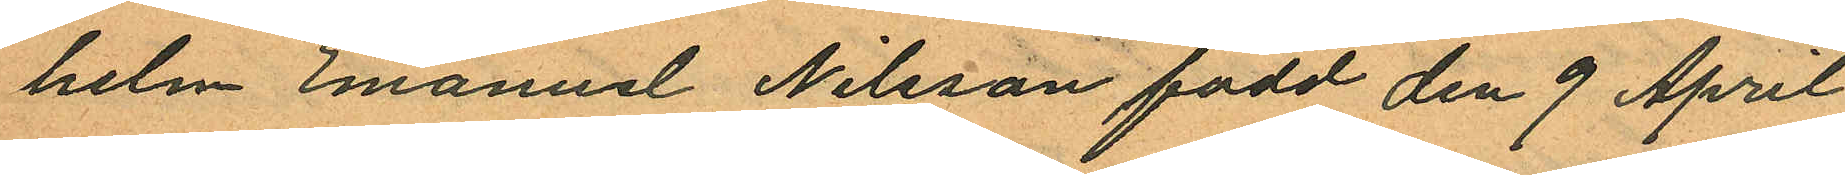helm Emanuel Nilsson född den 9 April
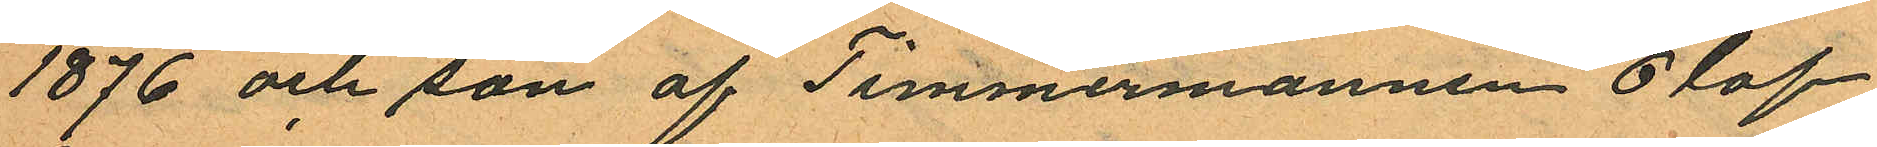1876 och son af Timmermannen Olof
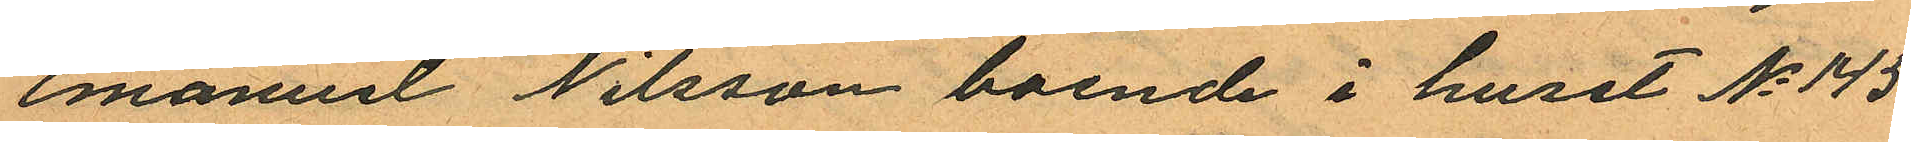emanuel Nilsson boende i huset No 145
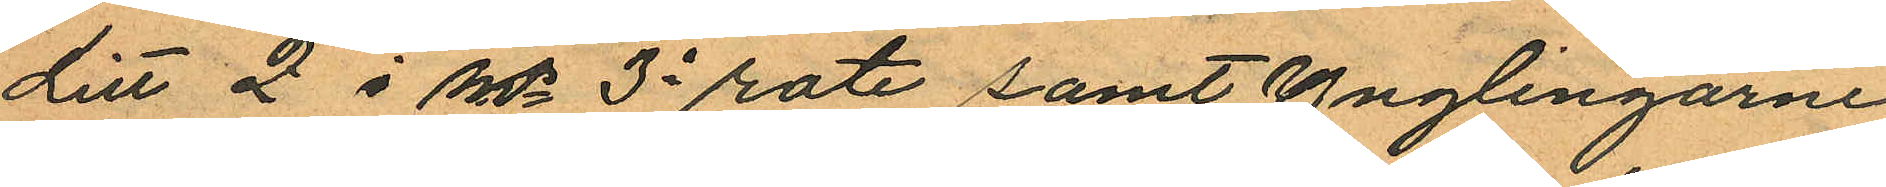Litt 2 i Ms 3e rote samt ynglingarne
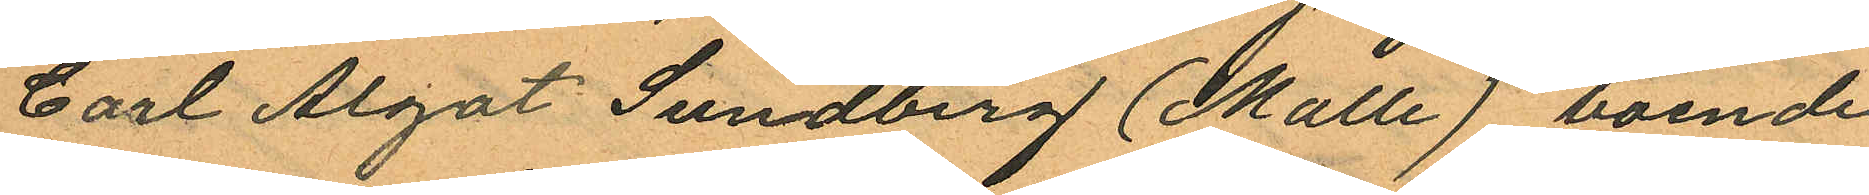Carl Algot Sundberg (Malle), boende
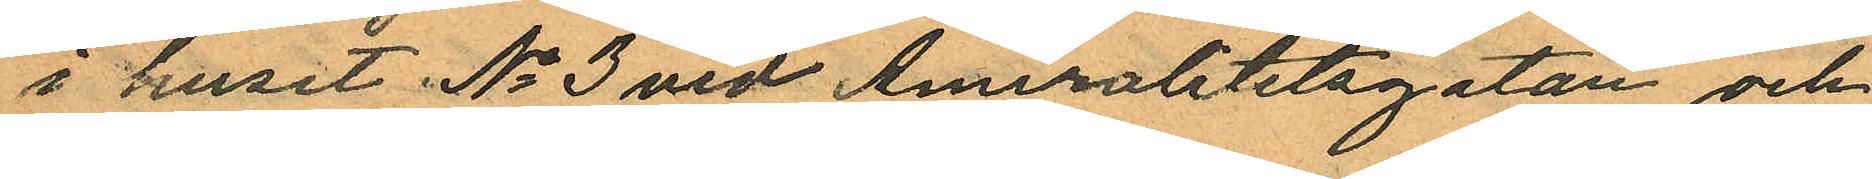i huset No 3 vid Amiralitetsgatan och
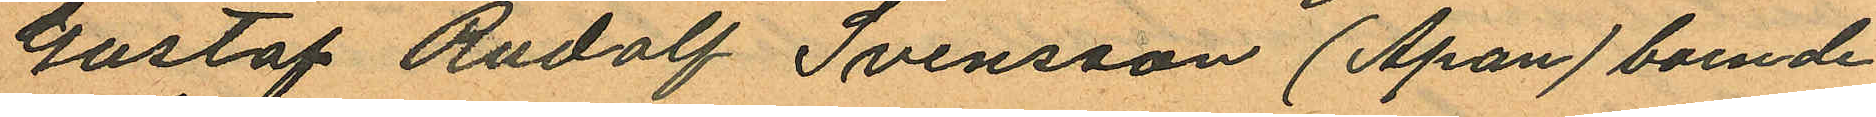Gustaf Rudolf Svensson (Apan) boende
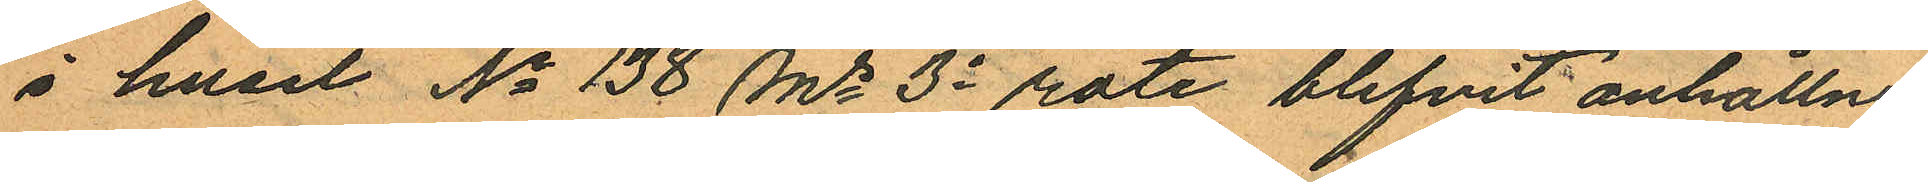i huset No 138 Ms 3e rote blifvit anhållne
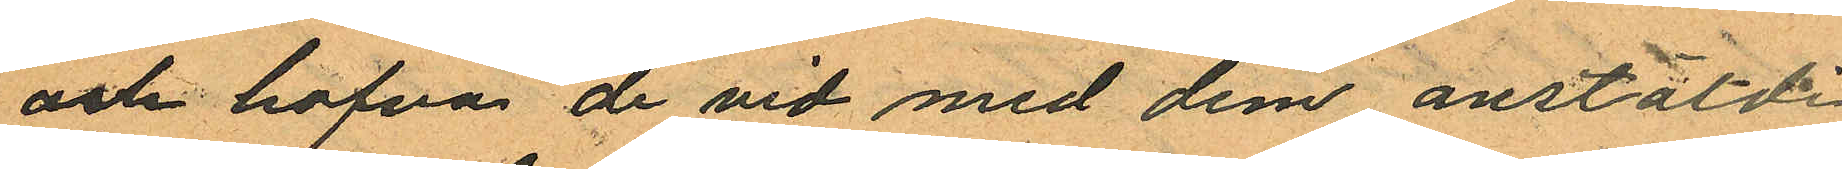och hafva de vid med dem anstäldt
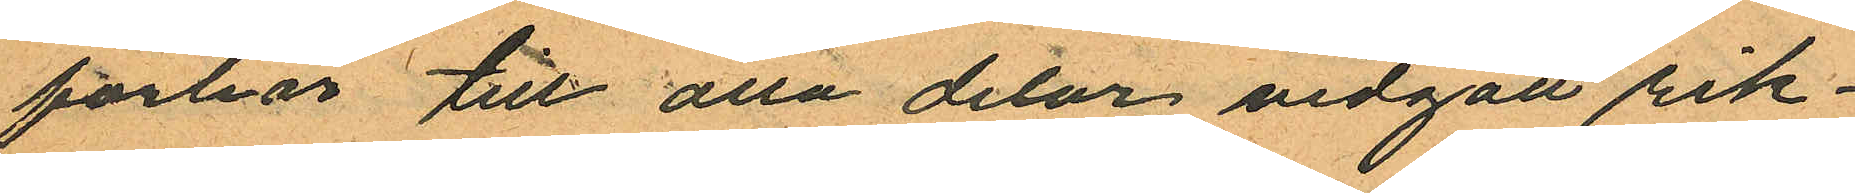förhör till alla delar vidgått rik¬
